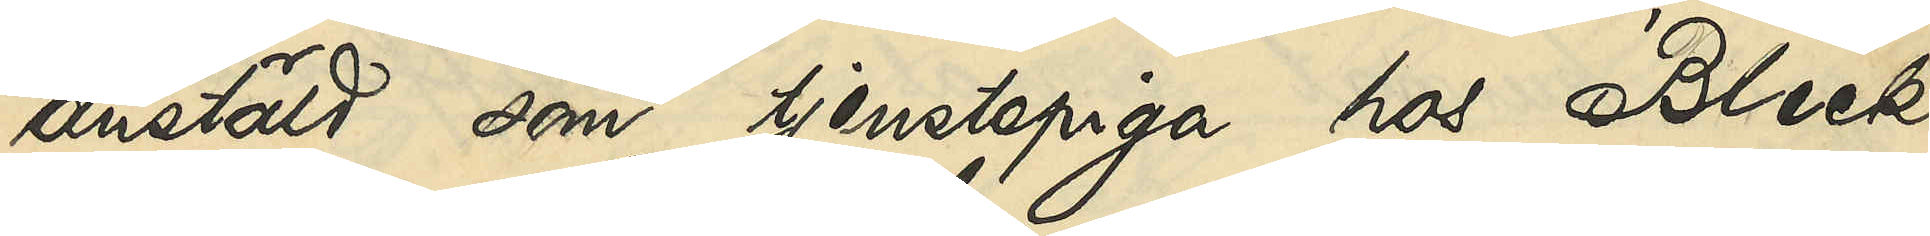anstäld som tjenstepiga hos Bleck¬
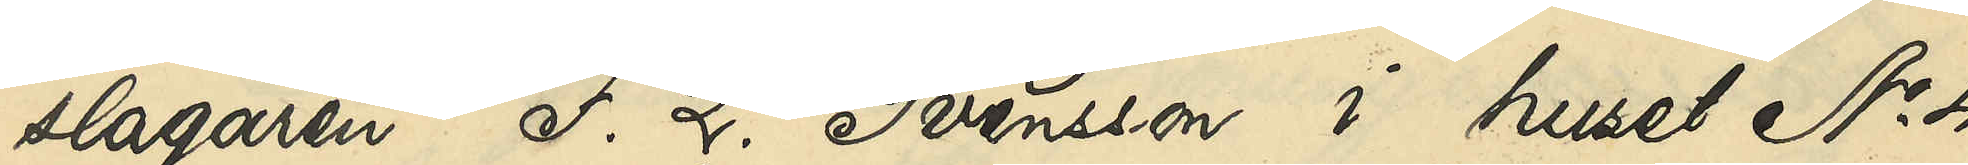slagaren F. L. Svensson i huset No 4
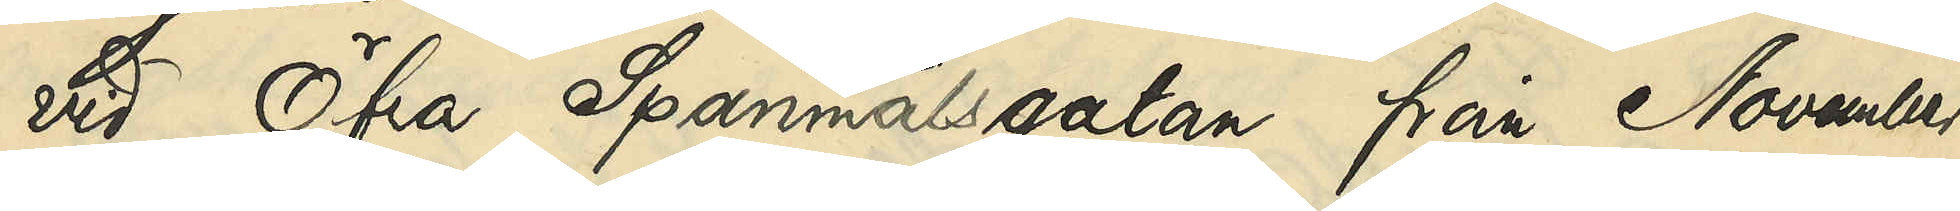vid Öfra Spannmålsgatan från November
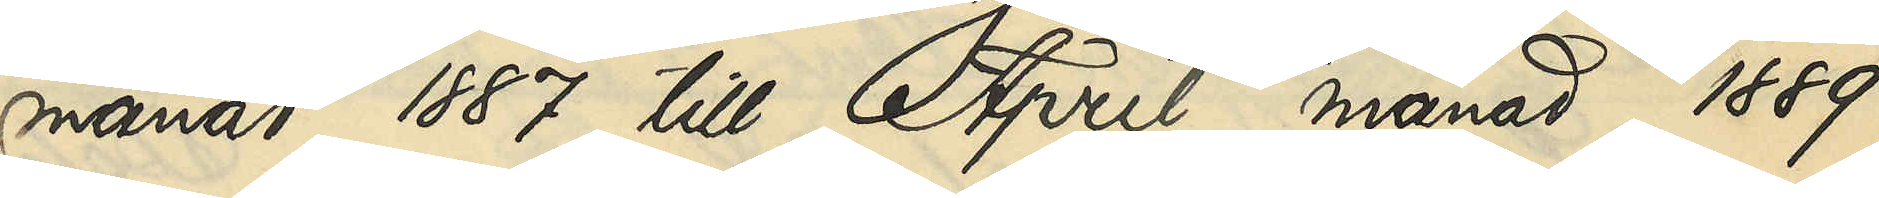månad 1887 till April månad 1889
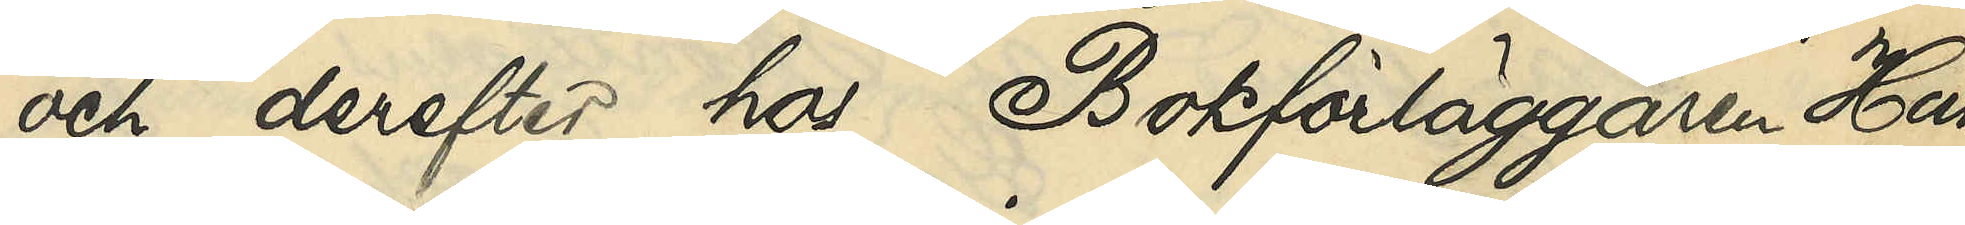och derefter hos Bokförläggaren Han
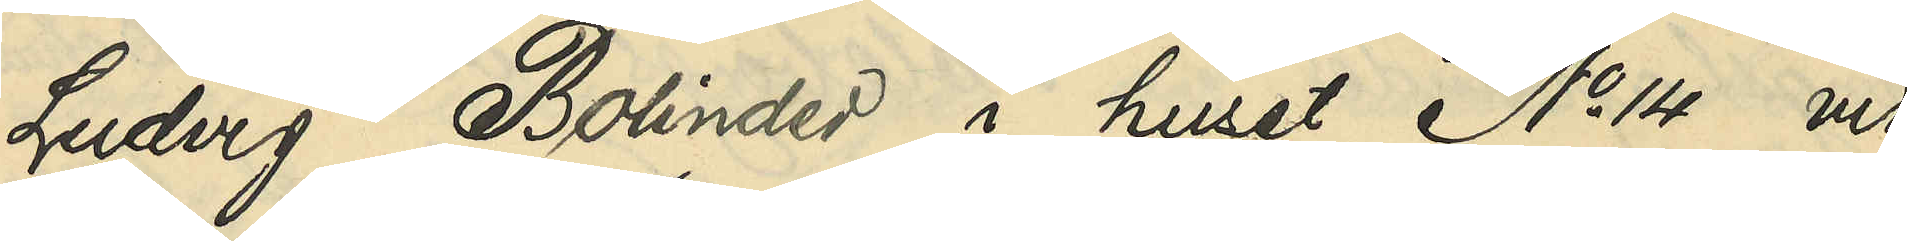Ludvig Bolinder i huset No 4 vid
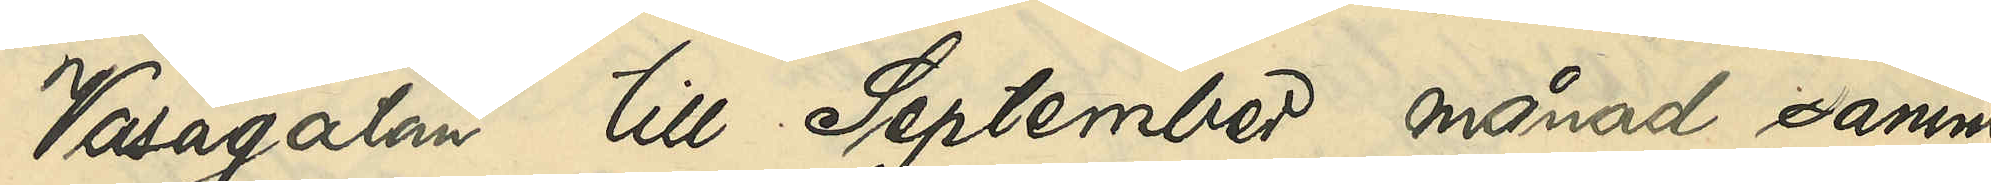Vasagatan till September månad samma
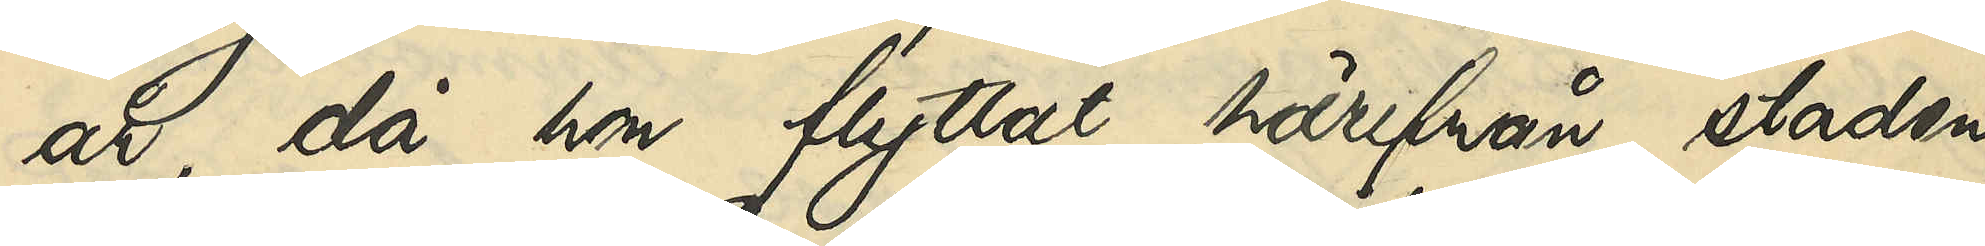år, då hon flyttat härifrån staden
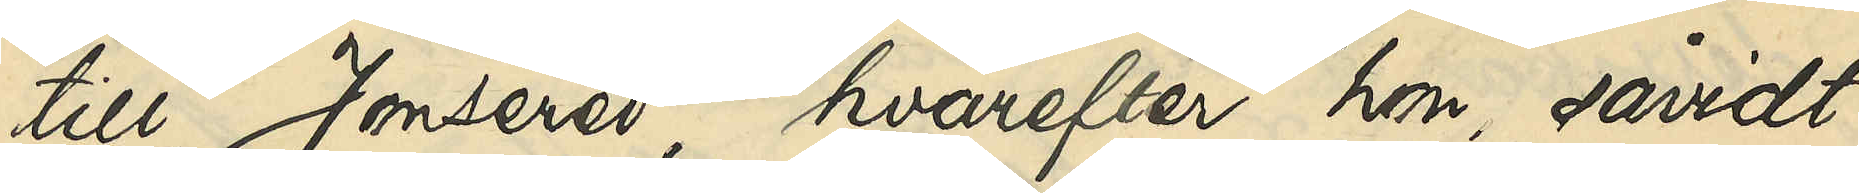till Jonsered, hvarefter hon, såvidt
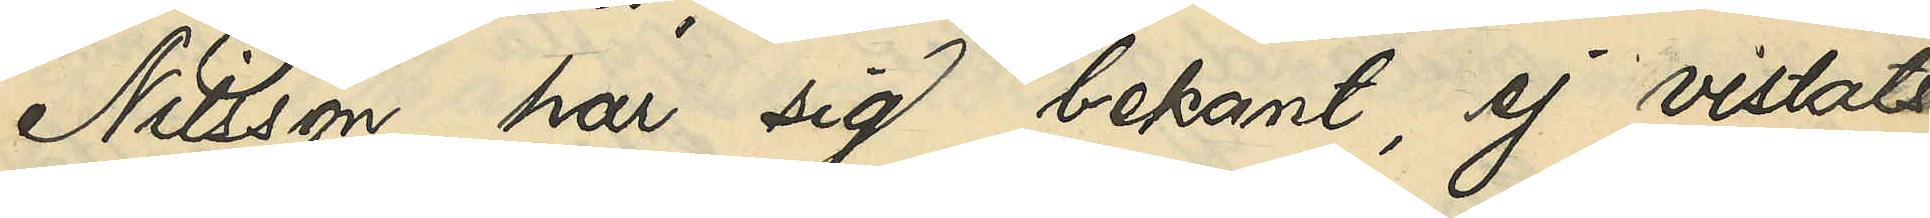Nilsson har sig bekant, ej vistats
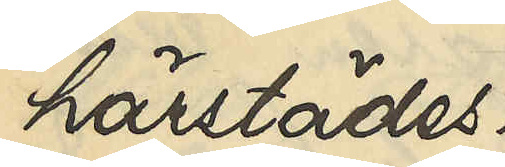härstädes.
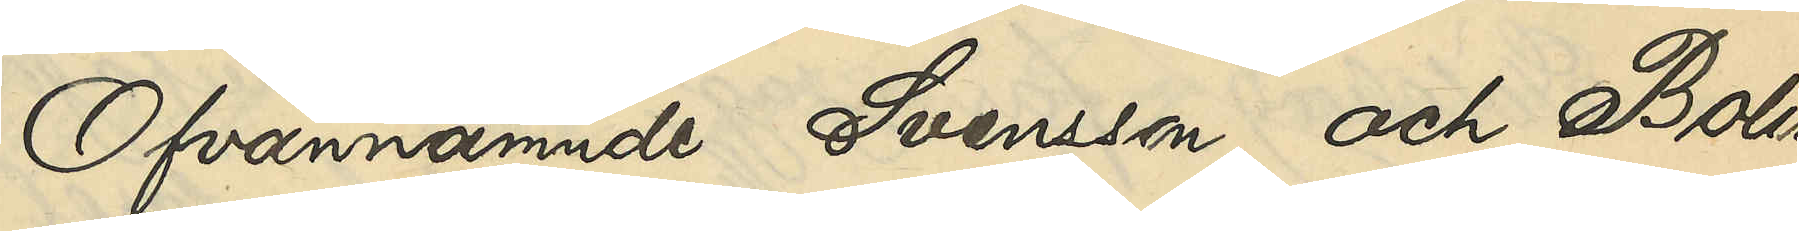Ofvannämnde Svensson och Bolin¬
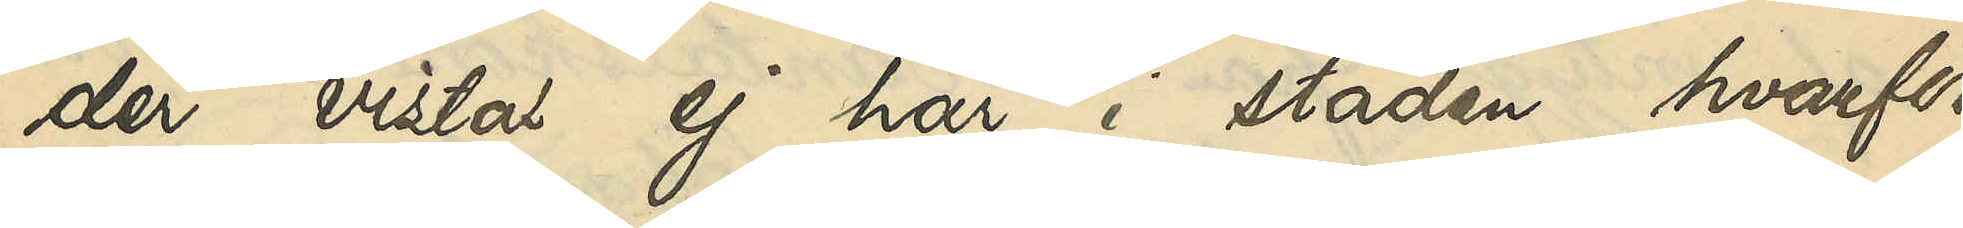der vistas ej här i staden, hvarför
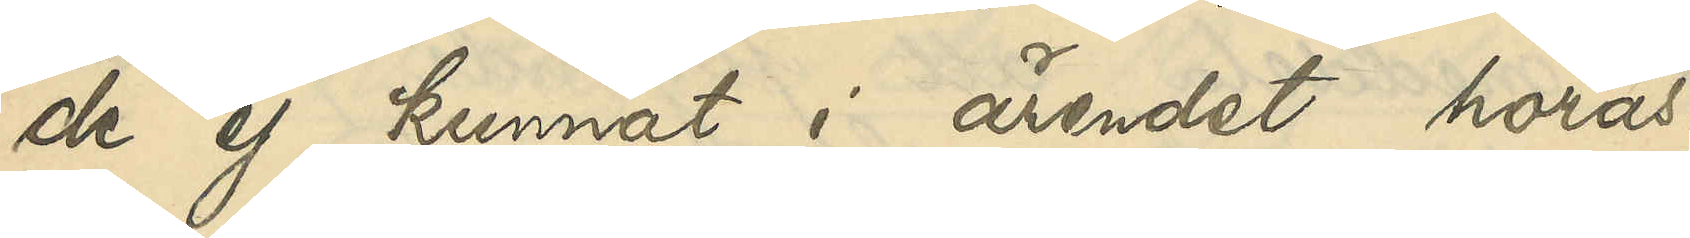de ej kunnat i ärendet höras.
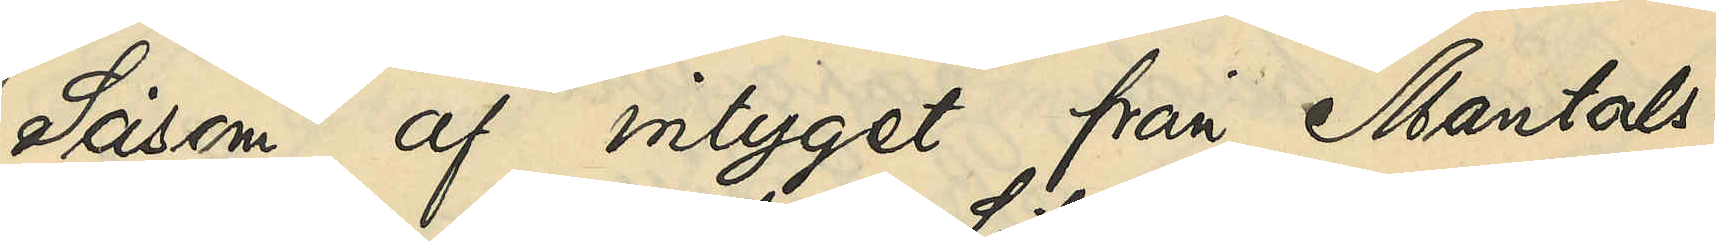Såsom af intyget från Mantals¬
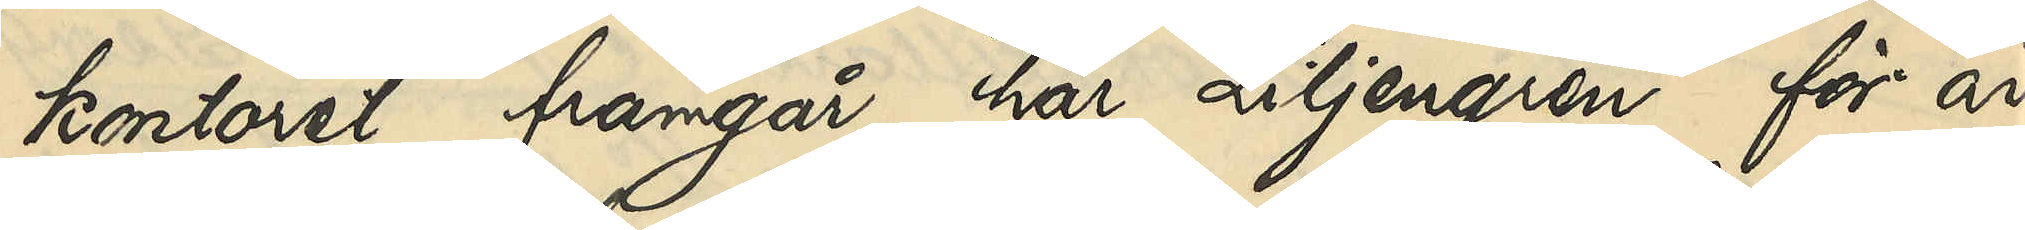kontoret framgår har Liljengren för år
